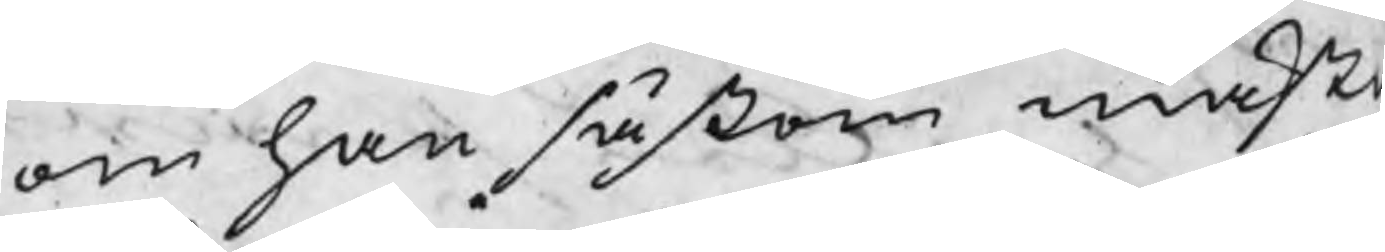om han såsom mästa
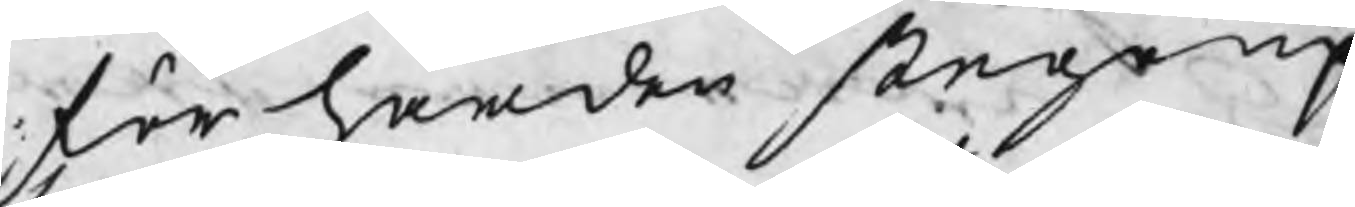förhärden stego up
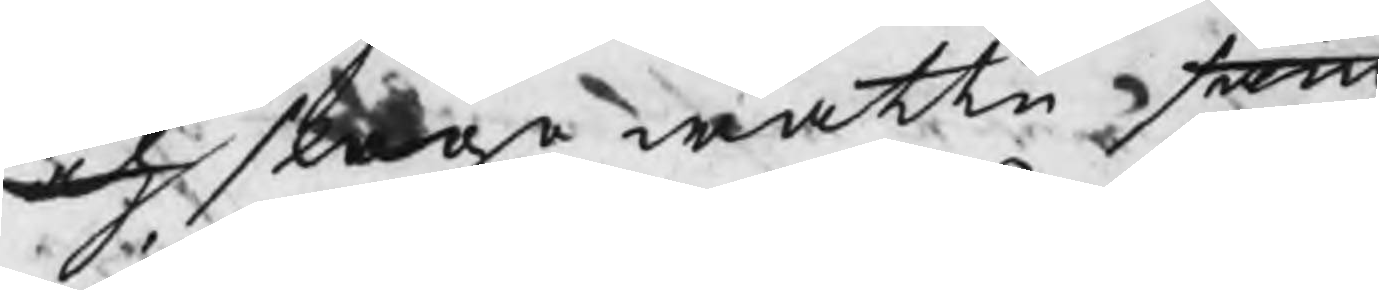och slogo wattn fram
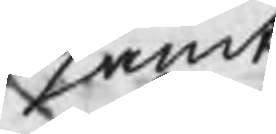samt
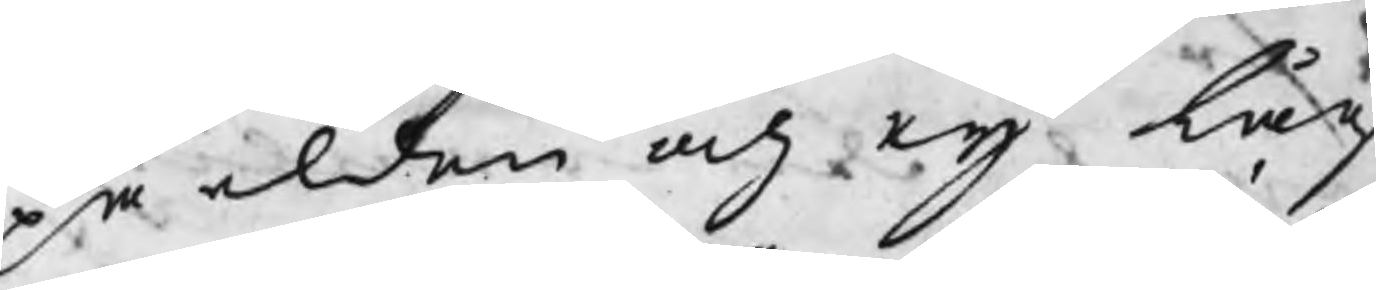på elden och eij låg
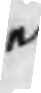en
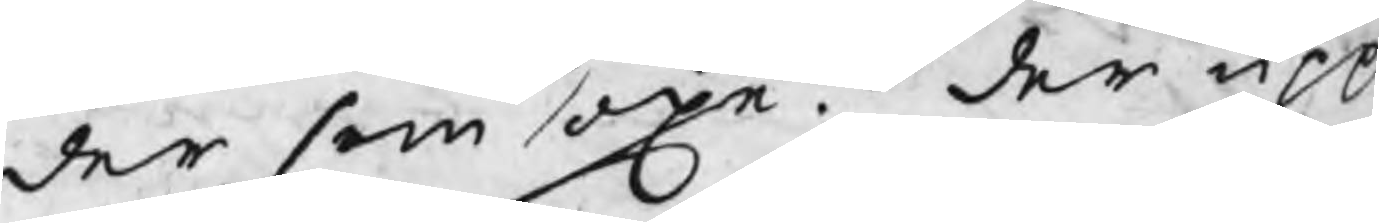der som oxe. der upp
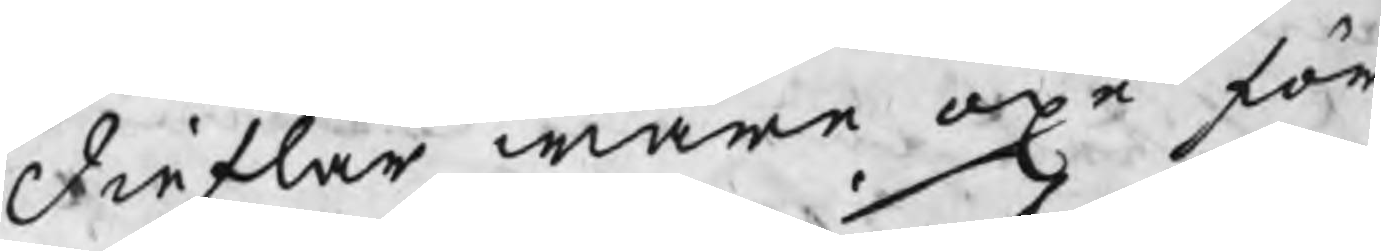dieflar ware oxe för
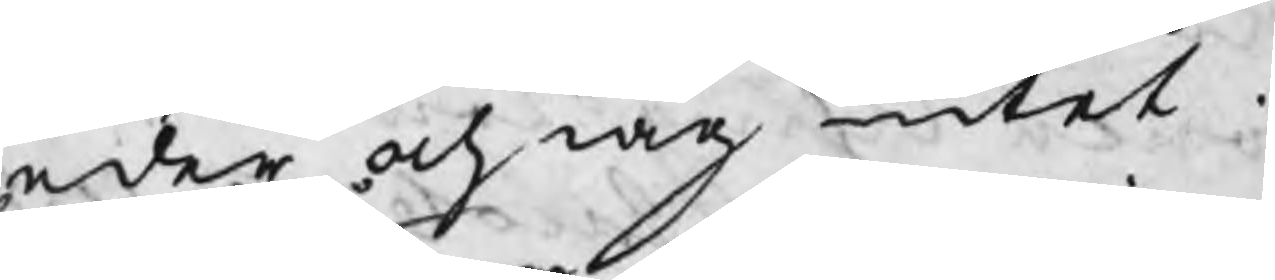eder och iag intet.
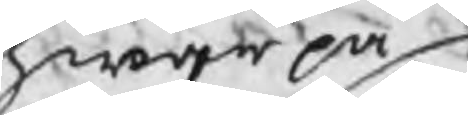hwarpå
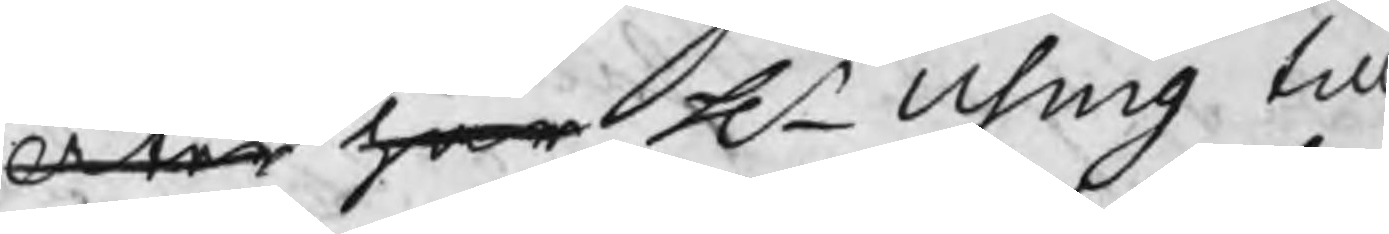Åter har Hr Using till
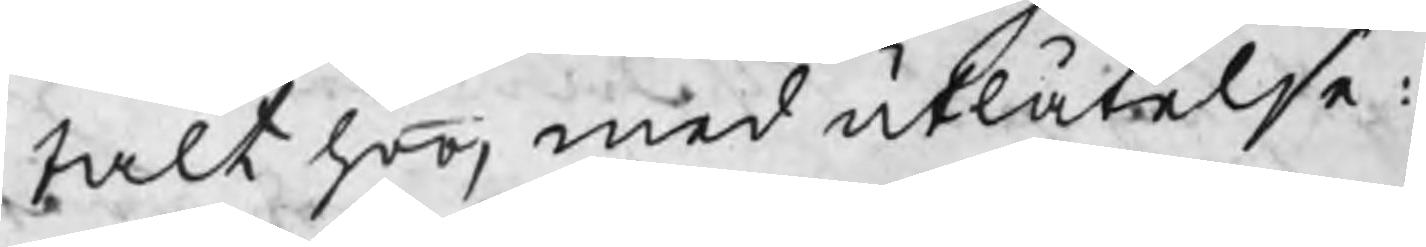talt honom med utlåtelse:
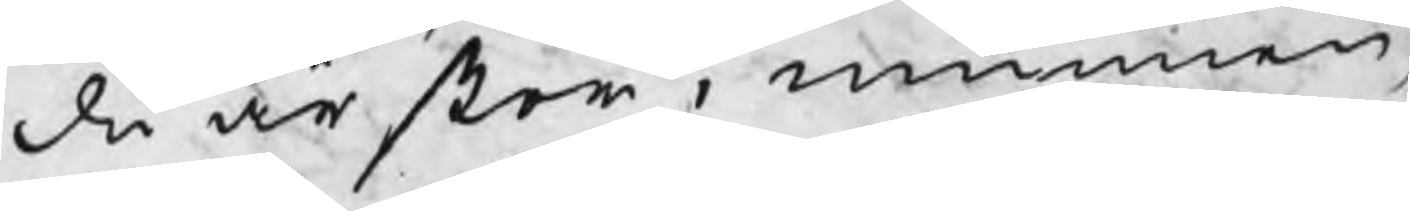du är stor i munnen,
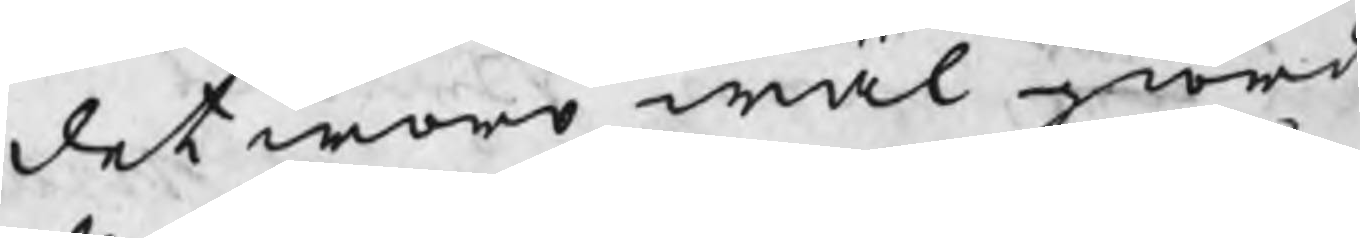det wore wäl giordt
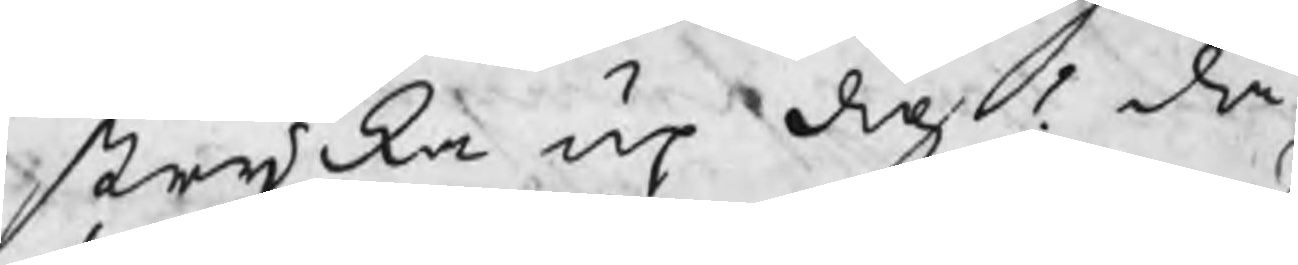stryka up dig! då
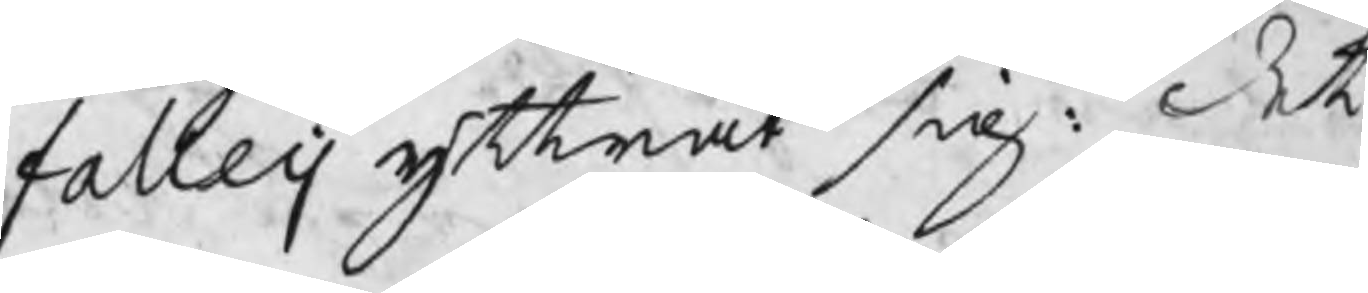falleij yttrat sig: det
